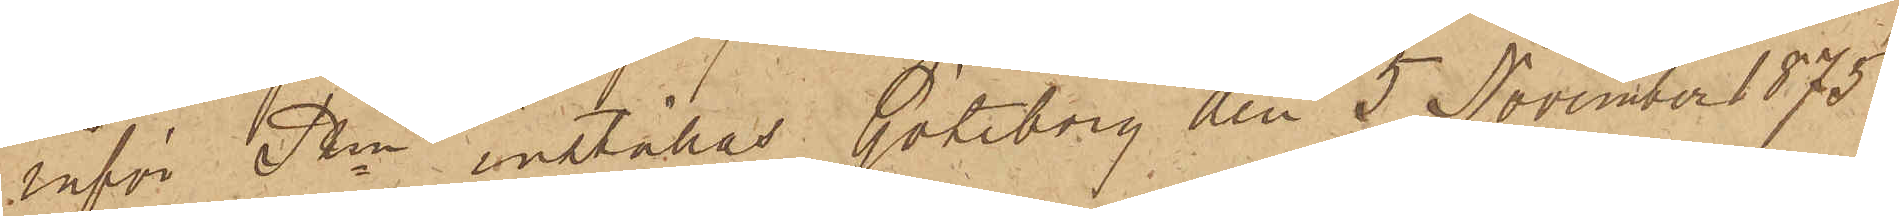inför Pkn inställas. Göteborg den 5 November 1875.
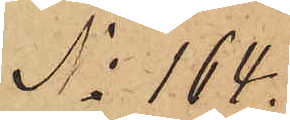No 164.
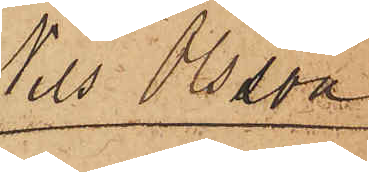Nils Olsson
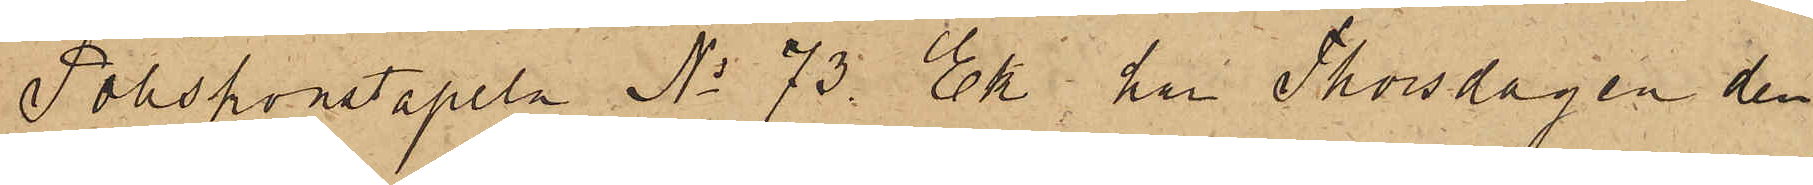Poliskonstapeln No 73. Ek har Thorsdagen den
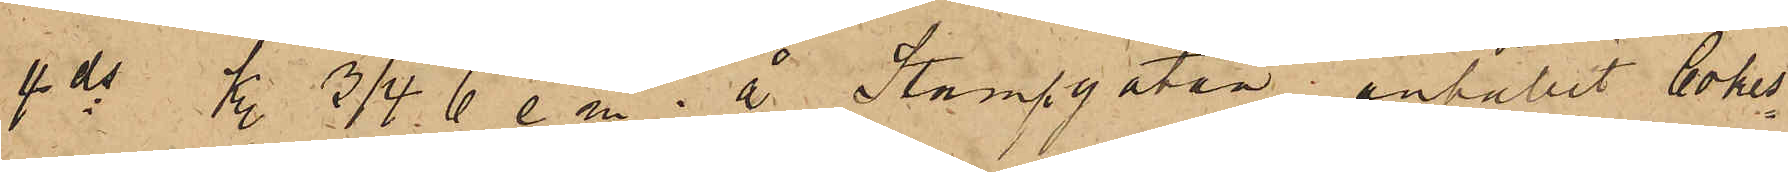4 ds kl. 3/4  6 e m. å Stampgatan anhållit Cokes¬
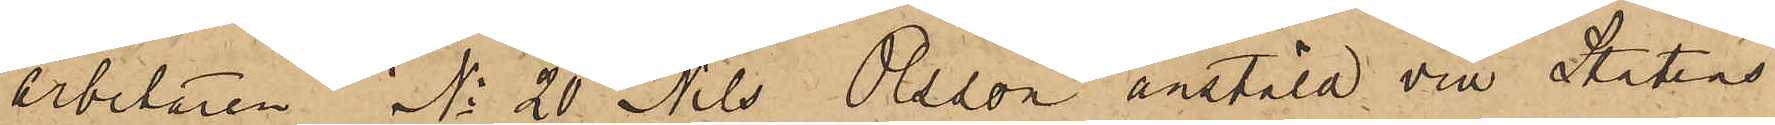arbetaren No 20 Nils Olsson anstäld vid Statens
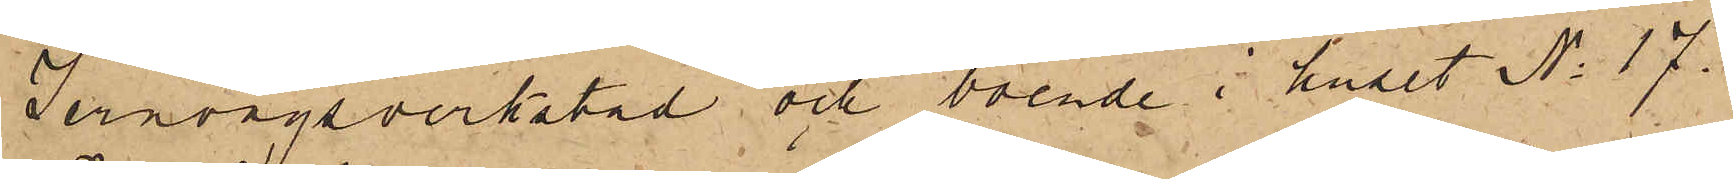Jernvägsverkstad och boende i huset No 17.
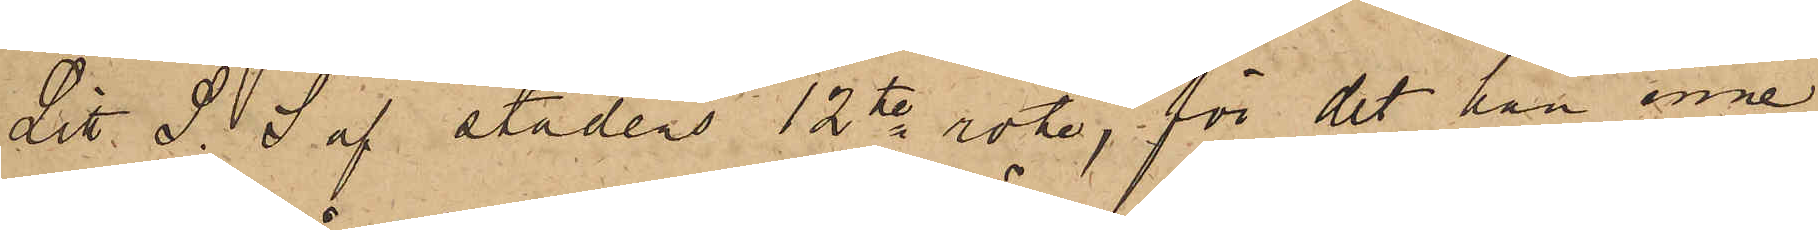Litt S. S af stadens 12te rote, för det han inne¬
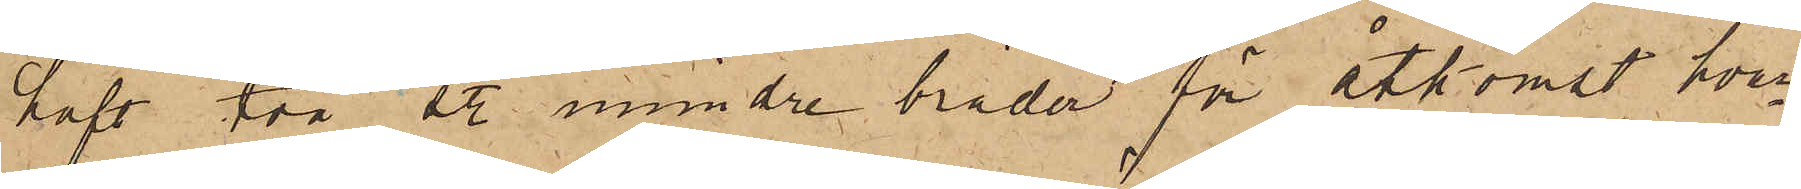haft två st. mindre bräder för åtkomst hvar¬
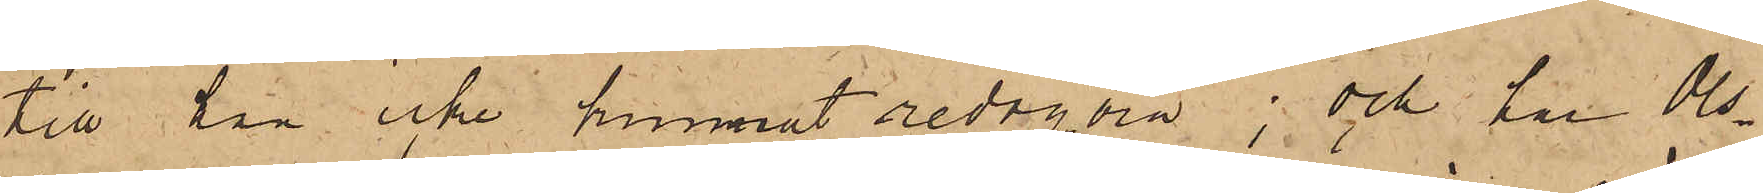till han icke kunnat redogöra; och har Ols¬
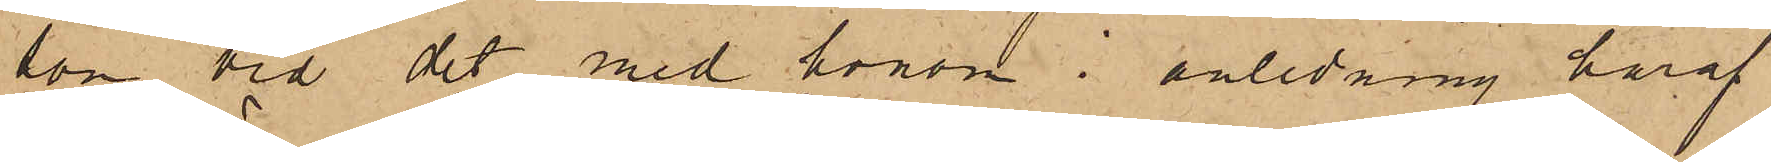son vid det med honom i anledning häraf
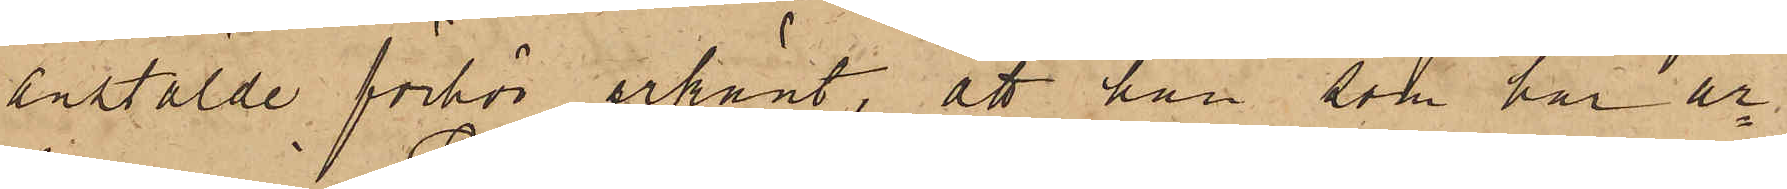anstälde förhör erkänt, att han som har ar¬
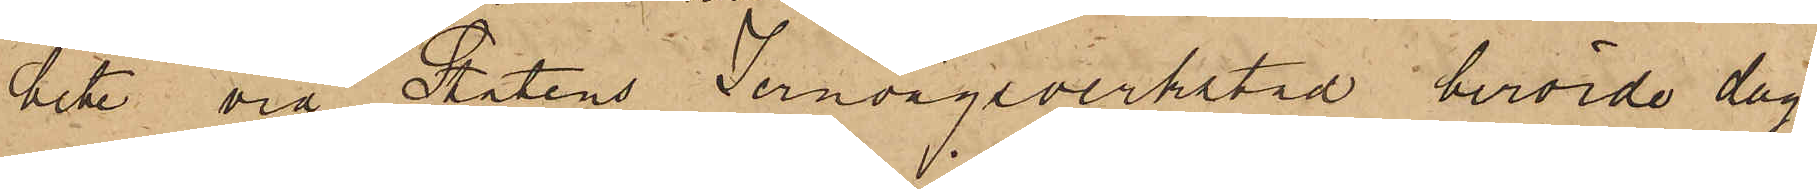bete vid Statens Jernvägsverkstad berörde dag
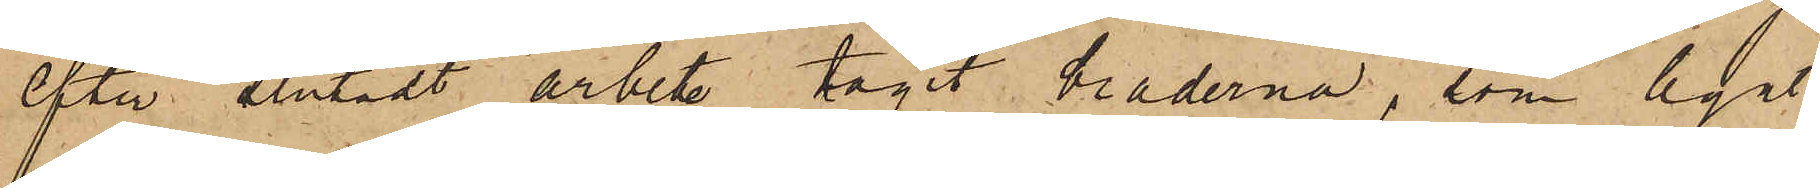efter slutadt arbete tagit bräderna, som legat
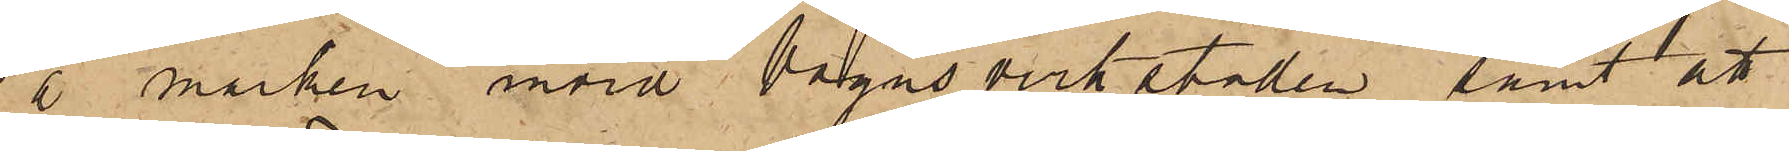å marken invid Vagnsverkstaden samt att
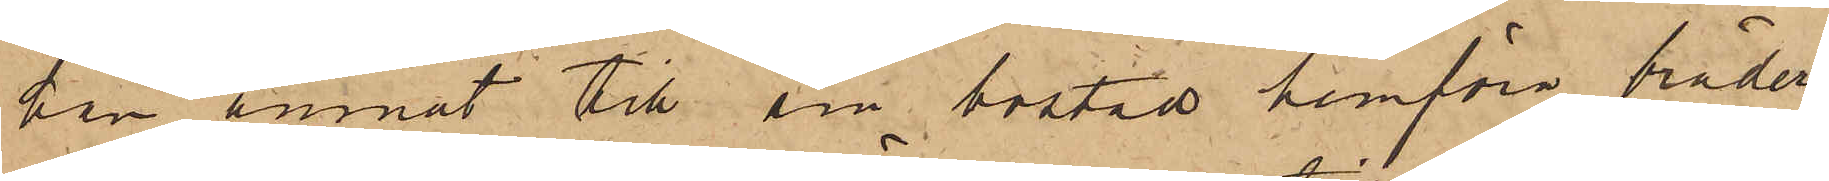han ämnat till sin bostad hemföra bräder¬
